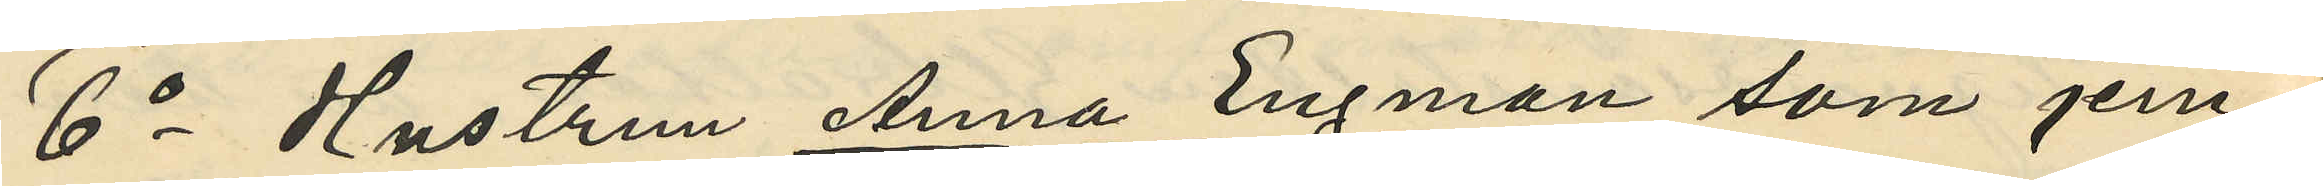6o Hustrun Anna Engman, som jem¬
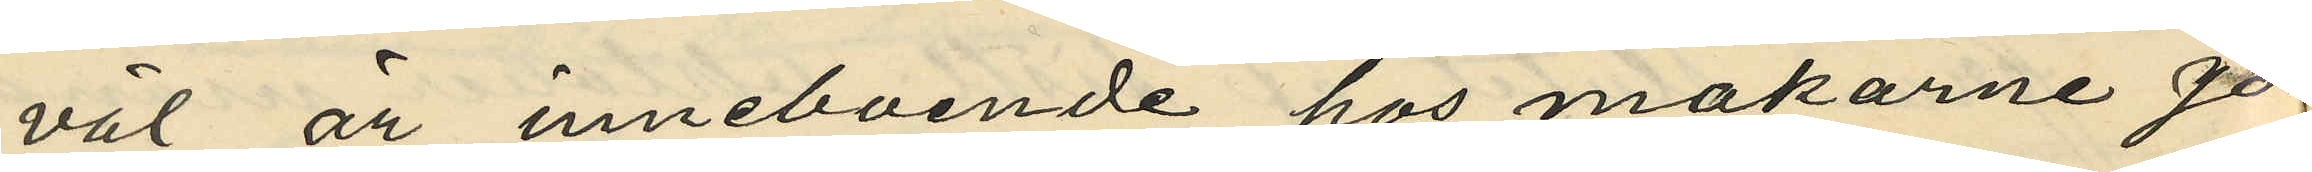väl är inneboende hos makarne Jo¬
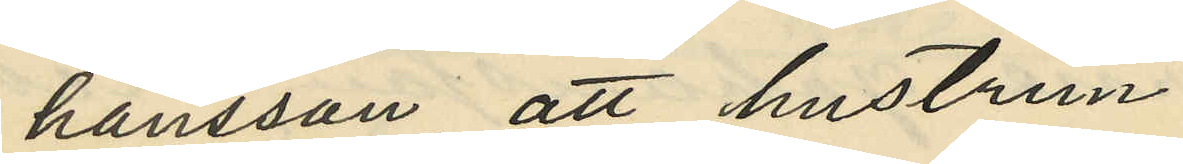hansson, att hustrun
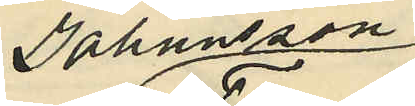Johansson
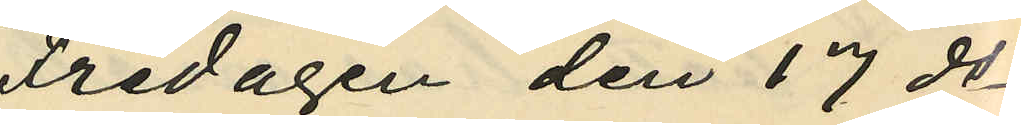Fredagen den 17 ds
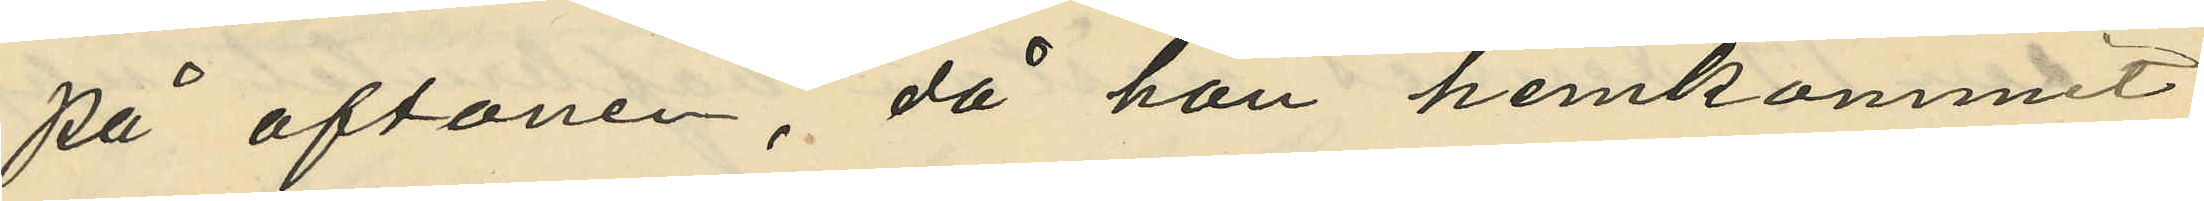på aftonen, då hon hemkommit
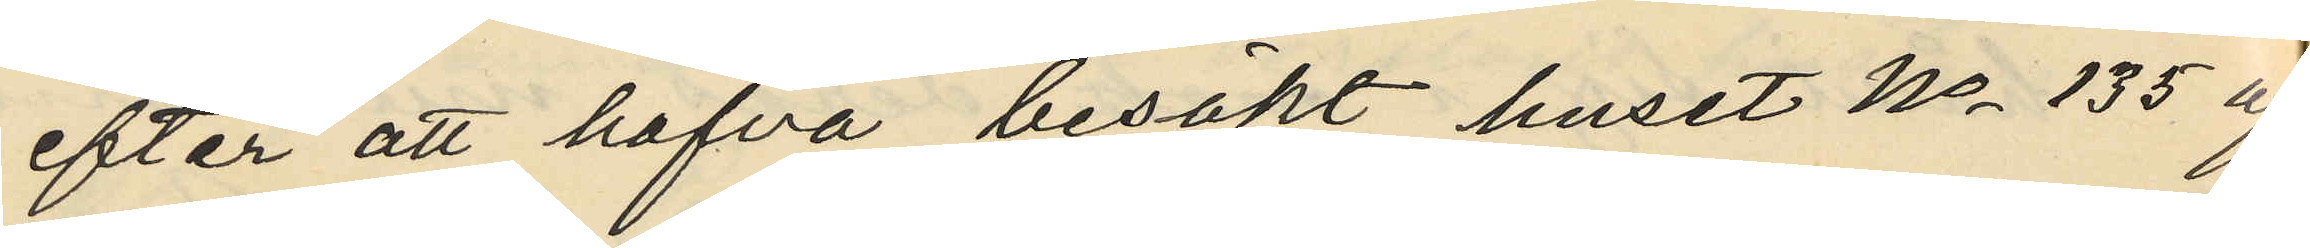efter att hafva besökt huset No 135 af
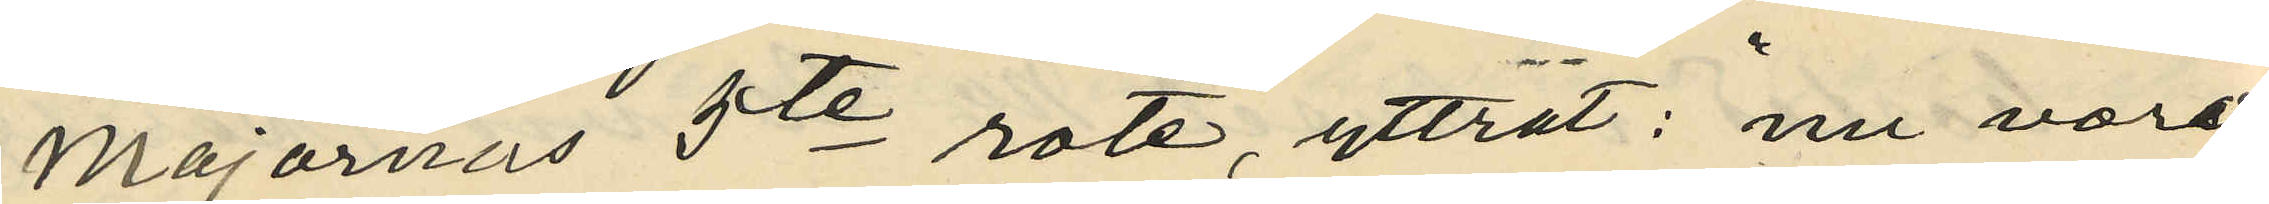Majornas 5te rote, yttrat: "nu vore
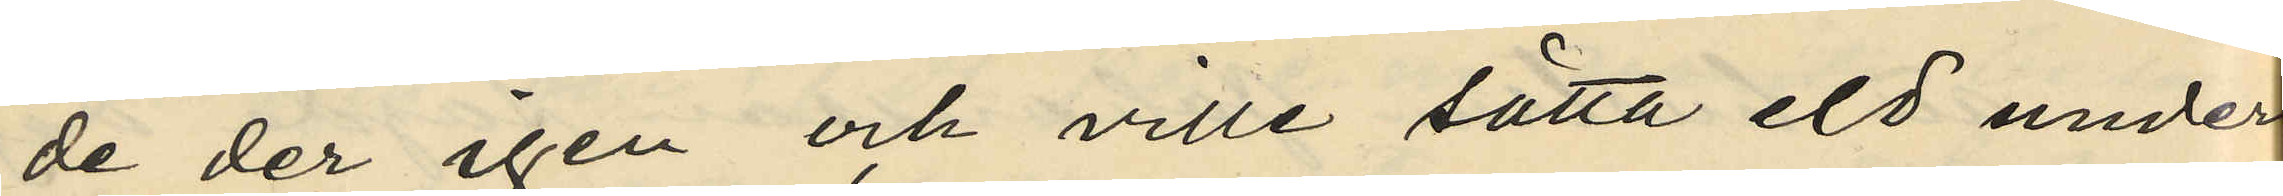de der igen och ville sätta eld under
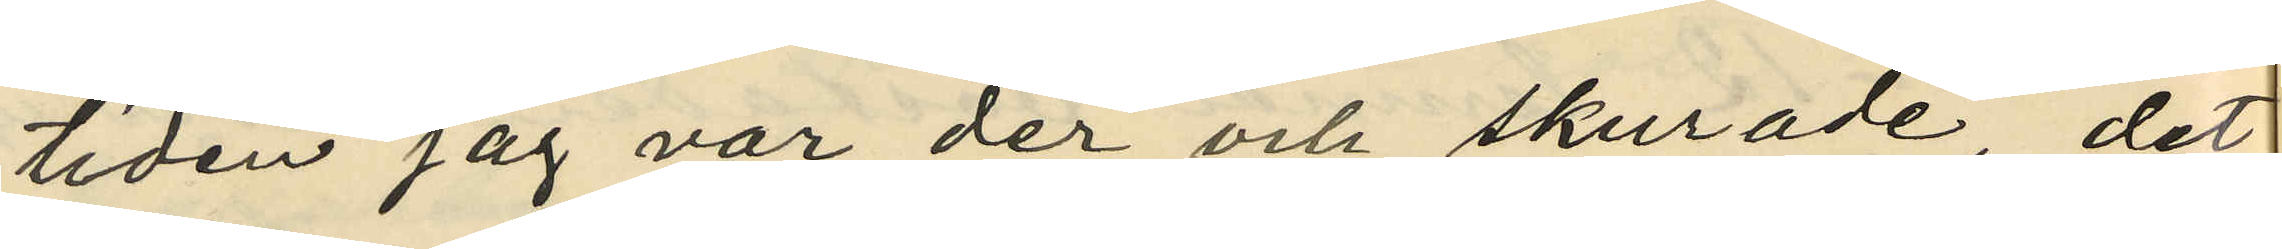tiden jag var der och skurade det
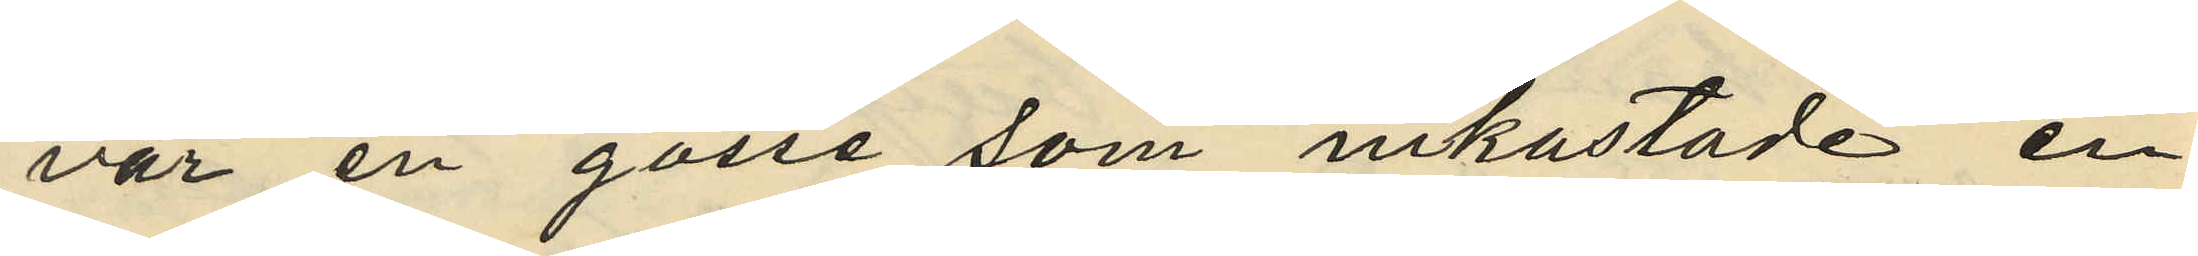var en gosse som inkastade en
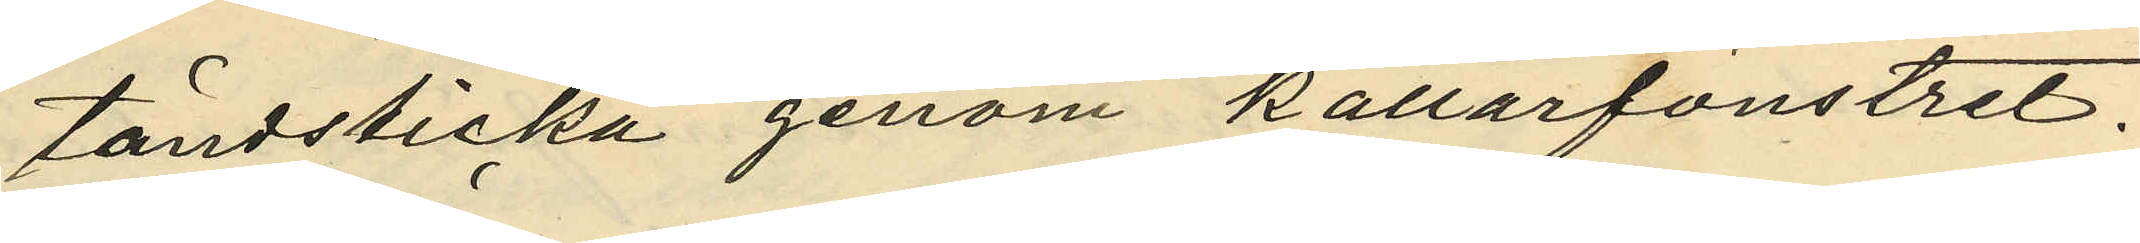tändsticka genom källarfönstret.
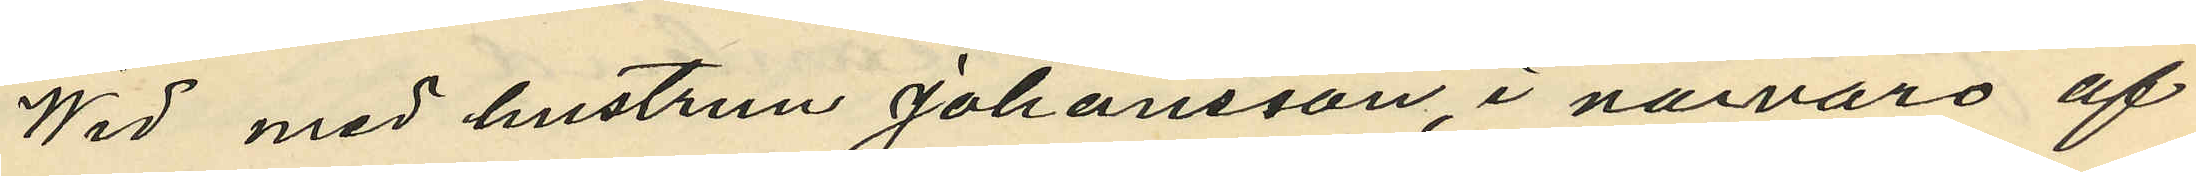Wid med hustrun Johansson, i närvaro af
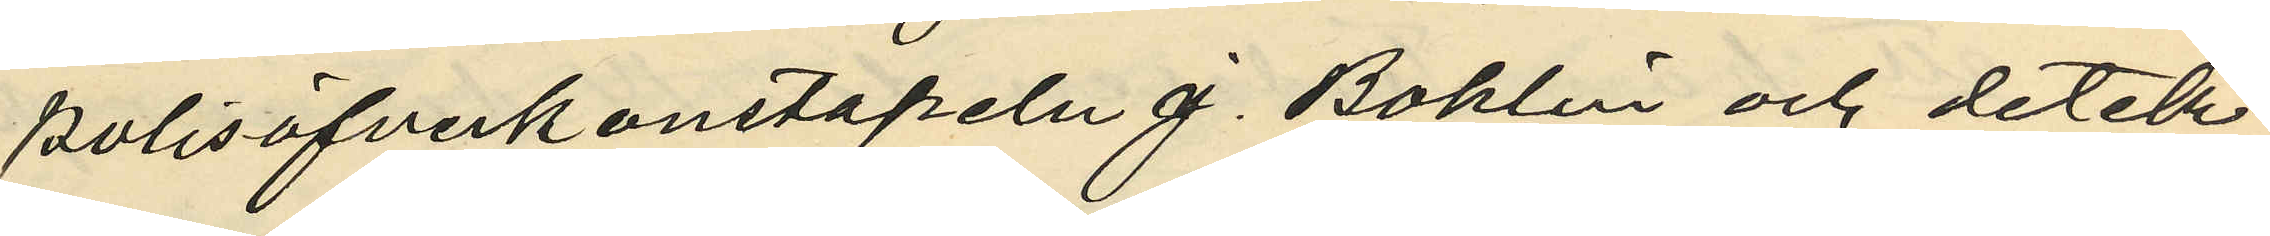polisöfverkonstapeln J. Bohlin och detek¬
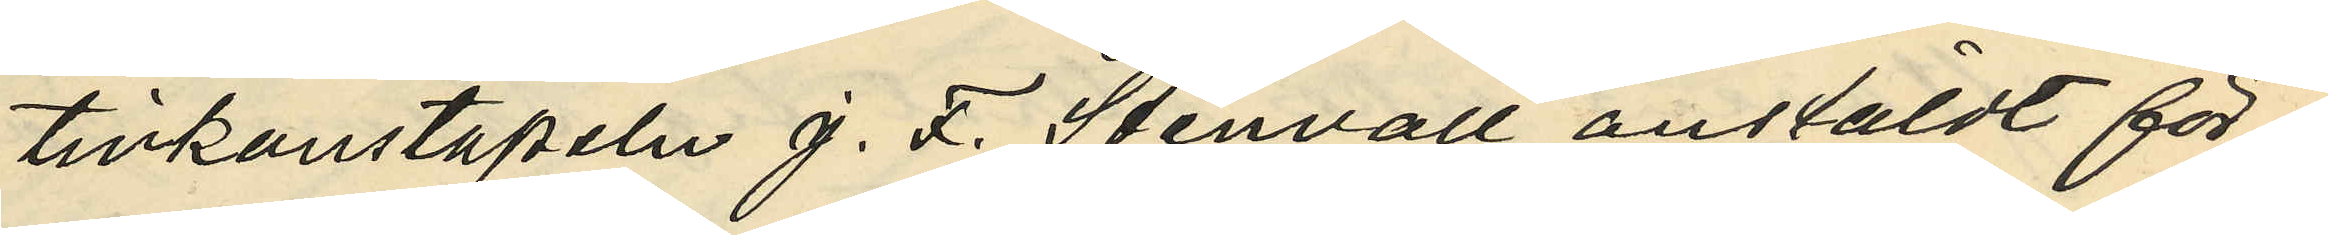tivkonstapeln J. F. Stenvall, anstäldt för¬
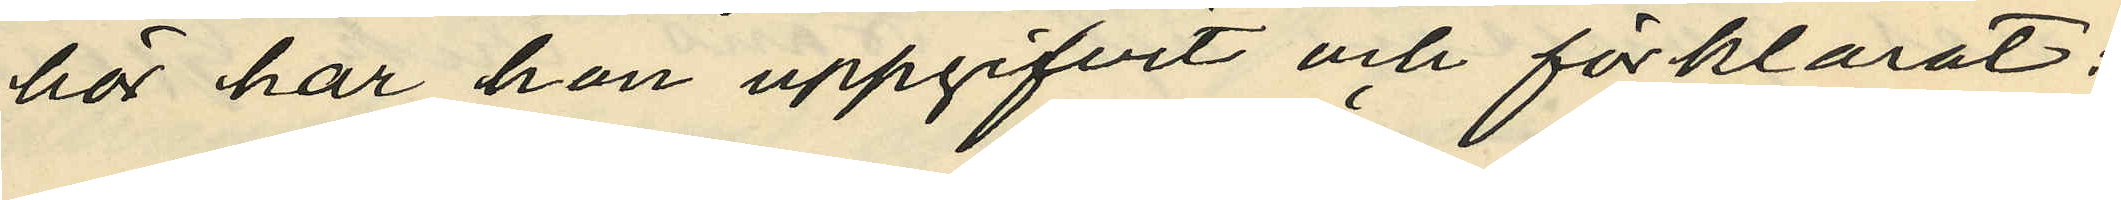hör har hon uppgifvit och förklarat:
